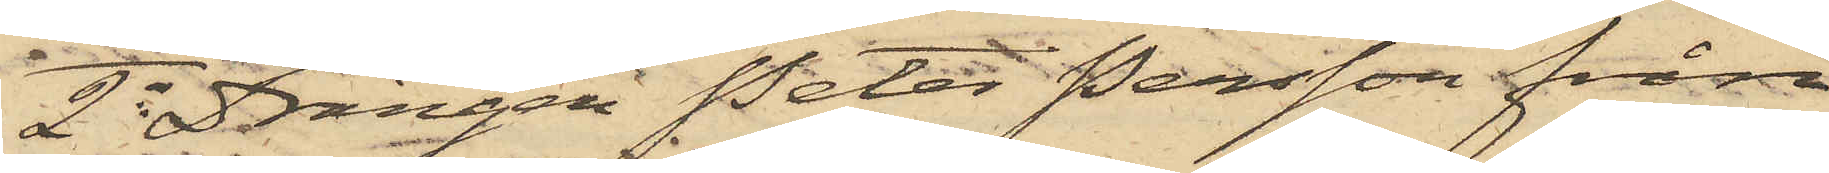2o Drängen Peter Persson från
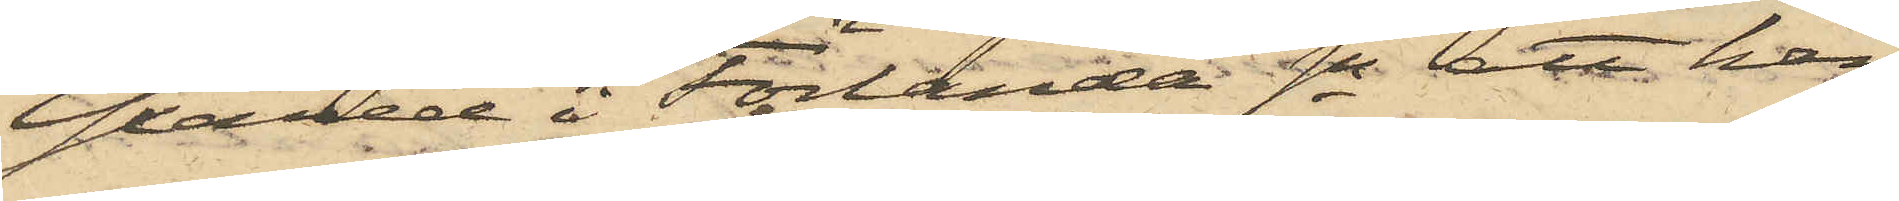Yxared i Förlanda Sn att han
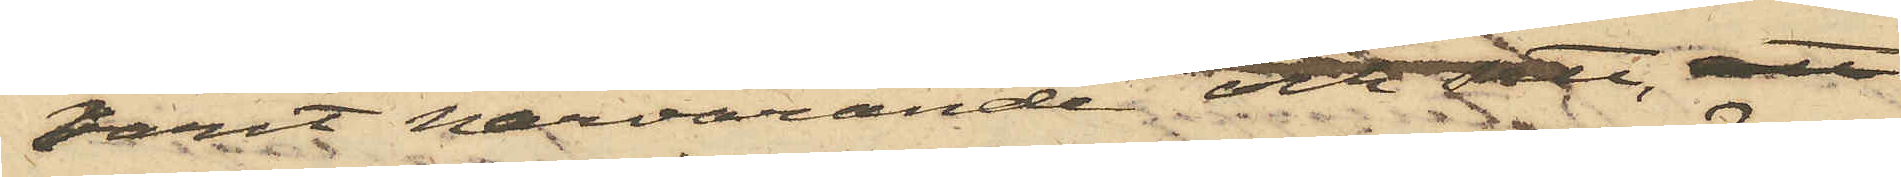varit närvarande och sett, att
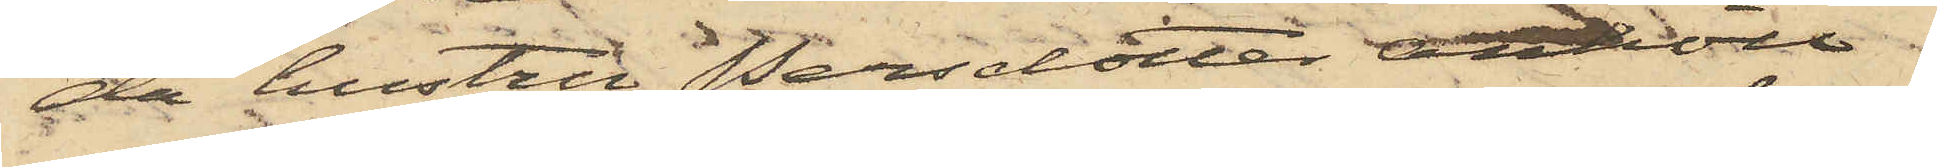då hustru Persdotter anhöll
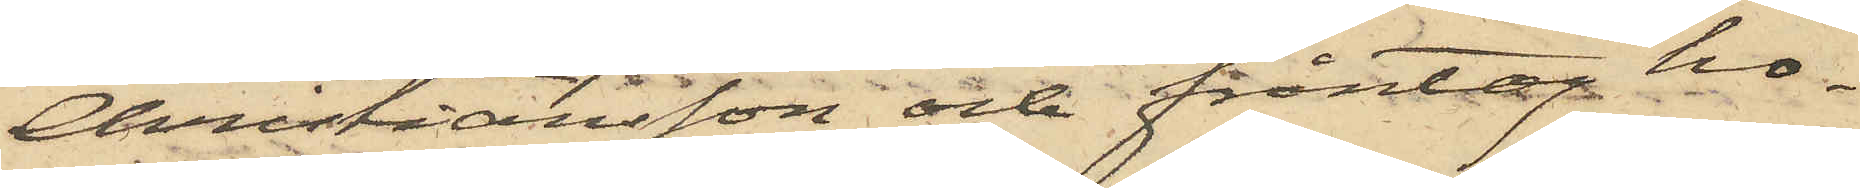Christiansson och fråntog ho¬
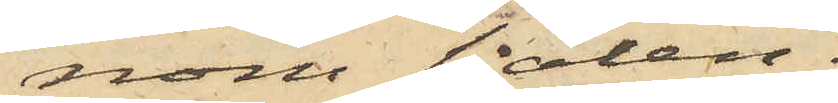nom sjalen.
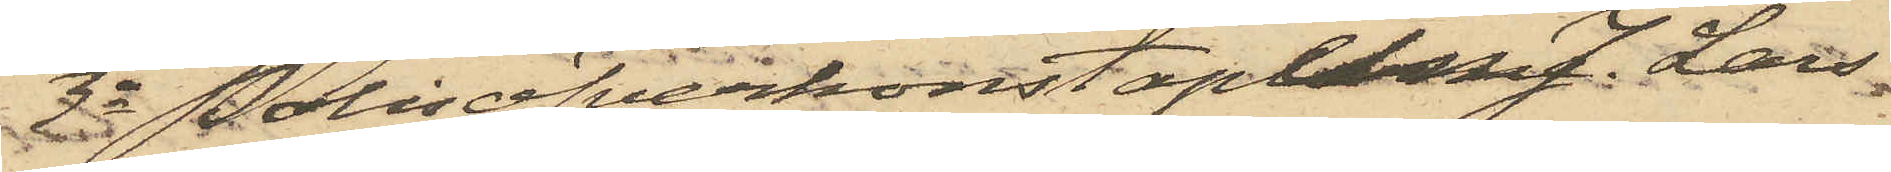3o Polisöfverkonstaplen J. Lars¬
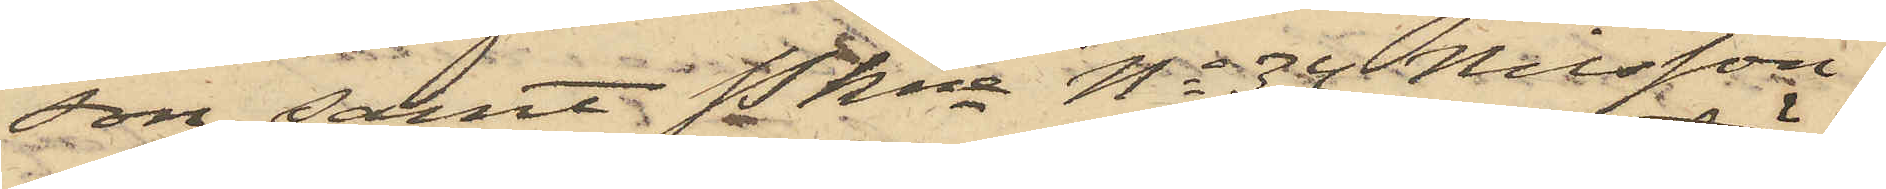son samt Pkna No 34 Nilsson.
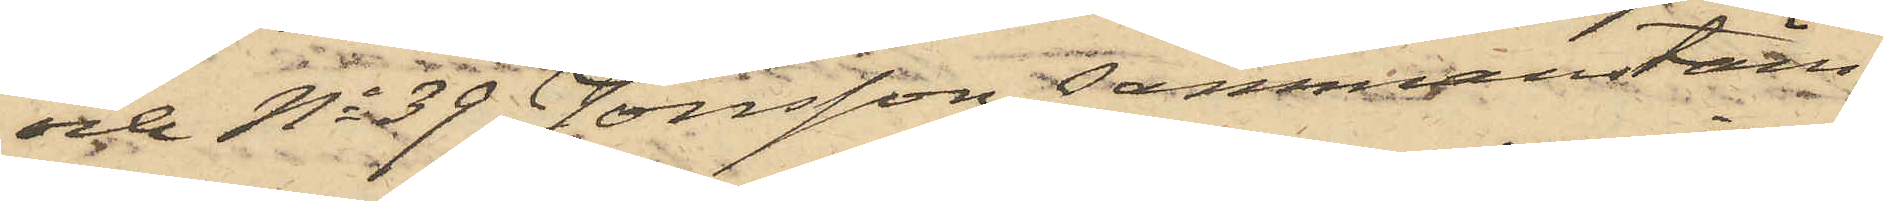och No 39 Jonsson sammanstäm¬
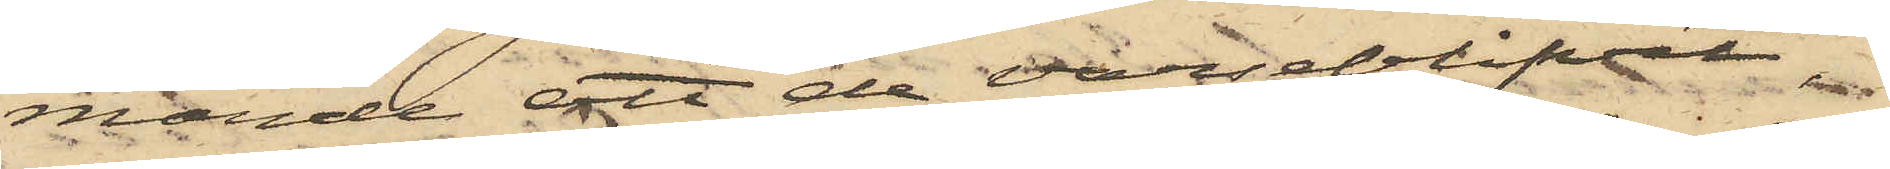mande att de varseblifvit,
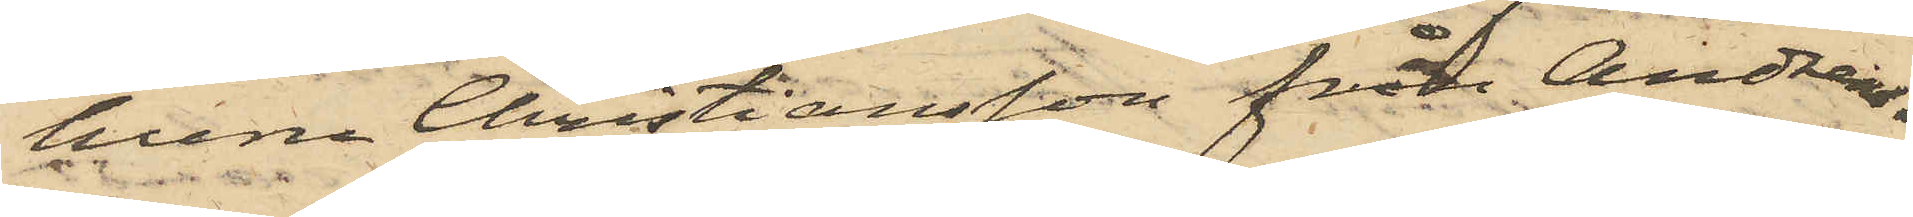huru Christiansson från Andreas¬
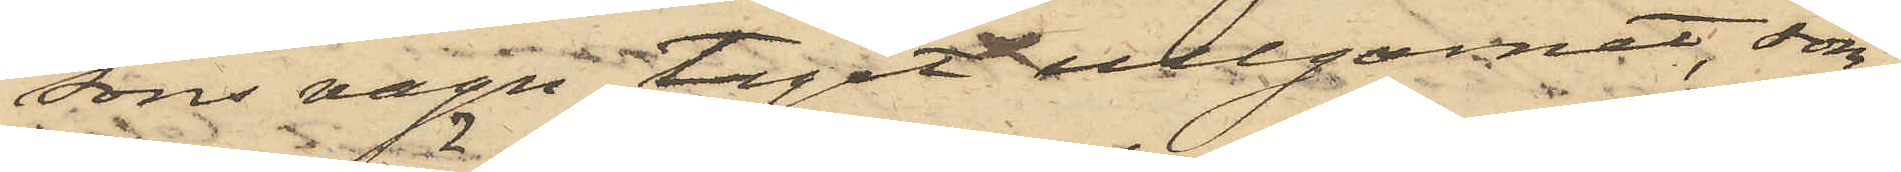sons vagn tagit ullgarnet, som
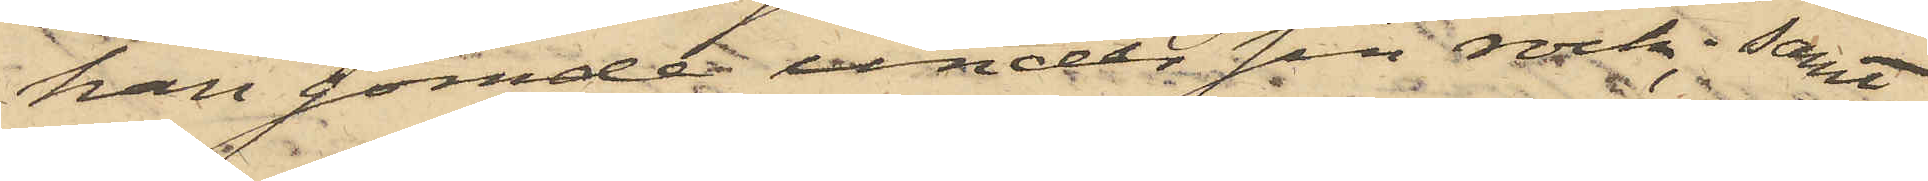han gömde under sin rock; samt
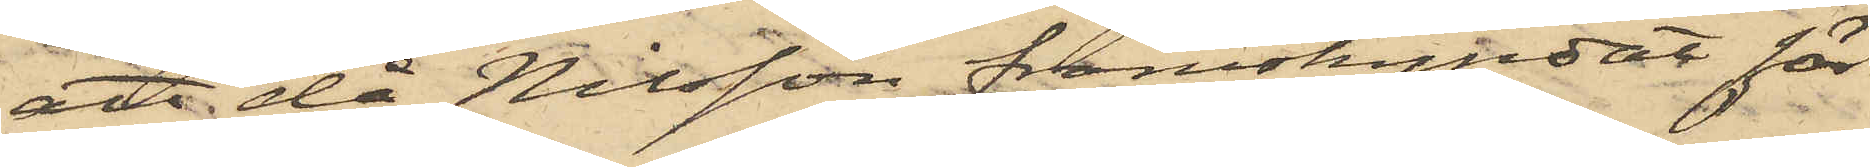att då Nilsson framskyndat för
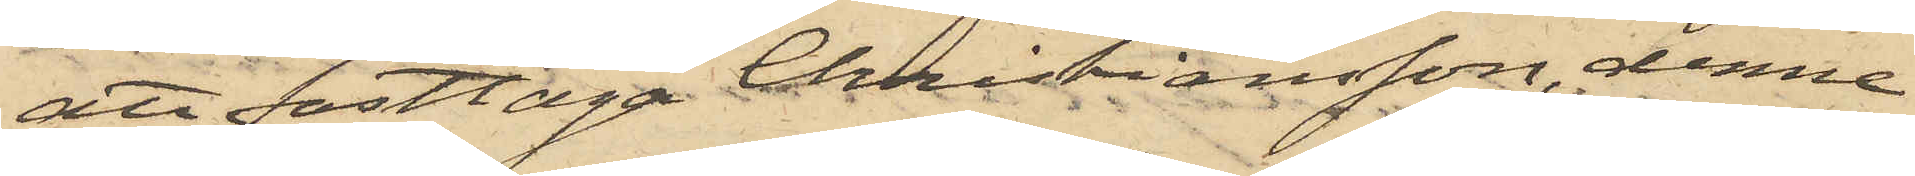att fasttaga Christiansson, denne
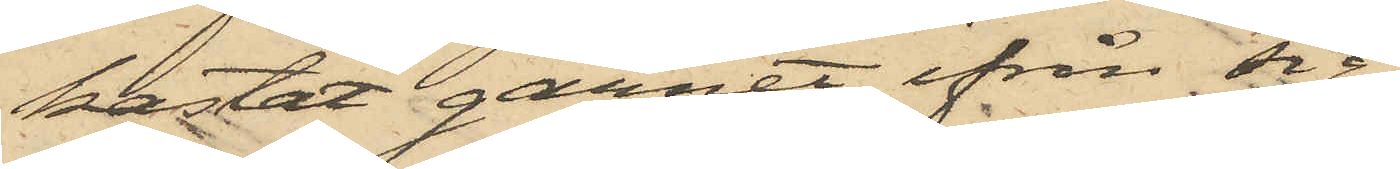kastat garnet ifrån sig.
